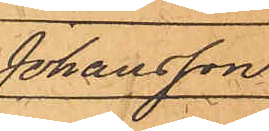Johansson.
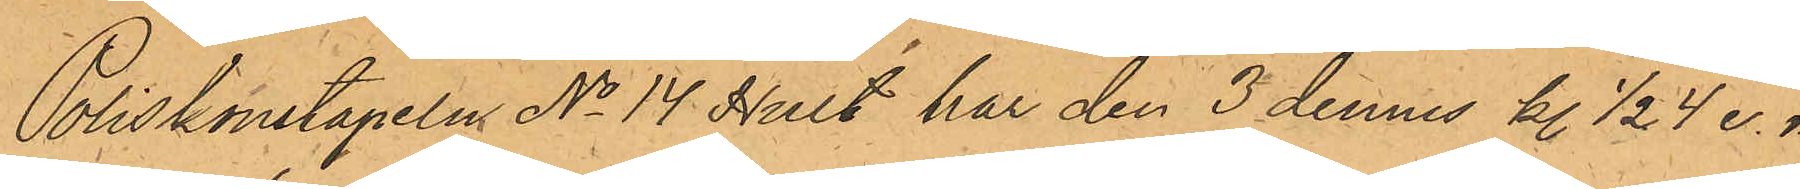Poliskonstapeln No 14 Hult har den 3 dennes kl 1/2 4 e. m.
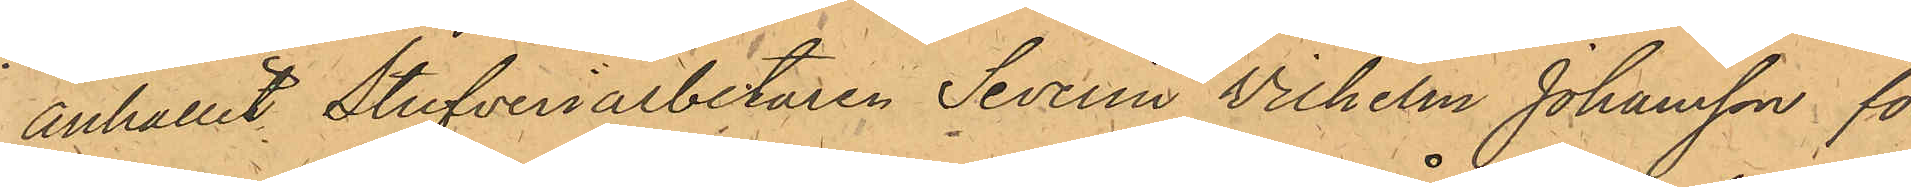anhållit Stufveriarbetaren Severin Vilhelm Johansson för
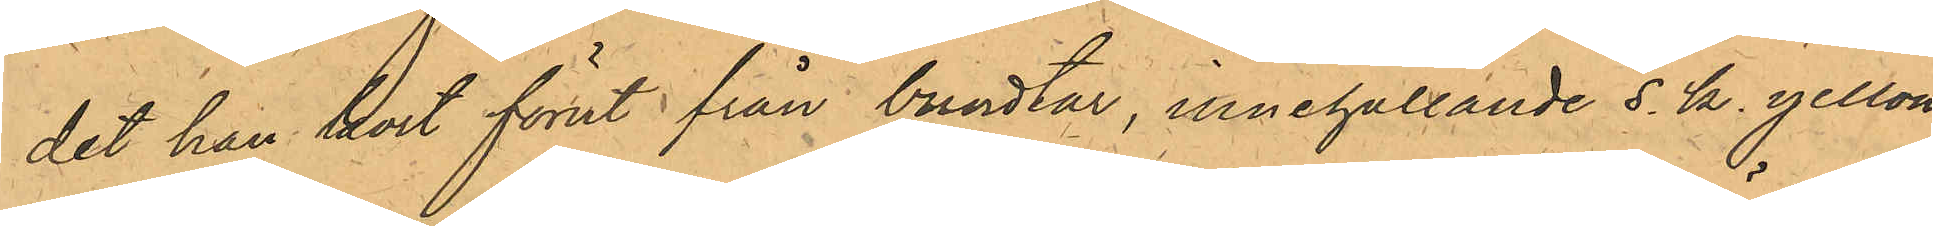det han kort förut från bundtar, innehållande s. k. yellow¬
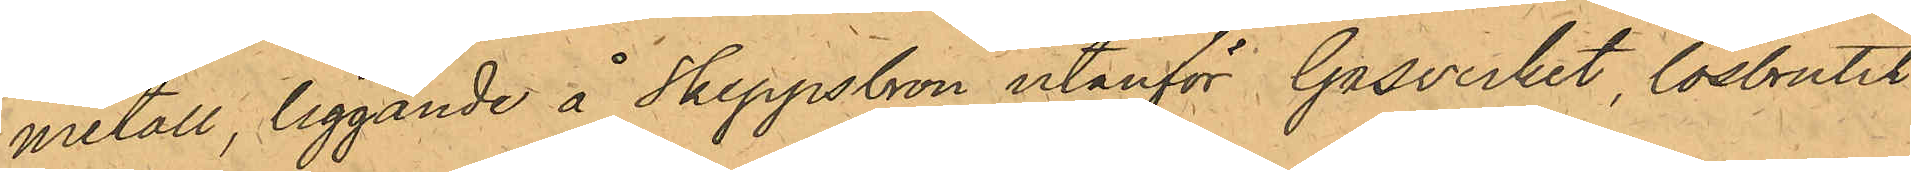metall, liggande å Skeppsbron utanför Gasverket, lösbrutit
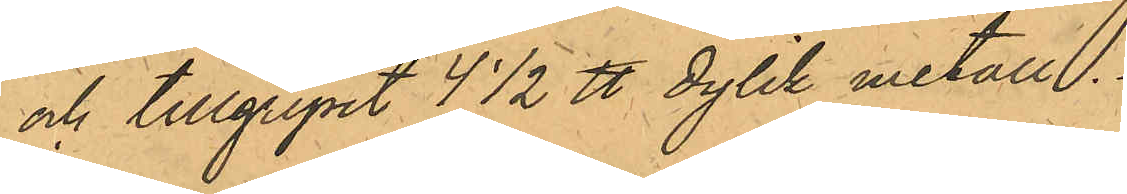och tillgripit 4 1/2 ℔ dylik metall.
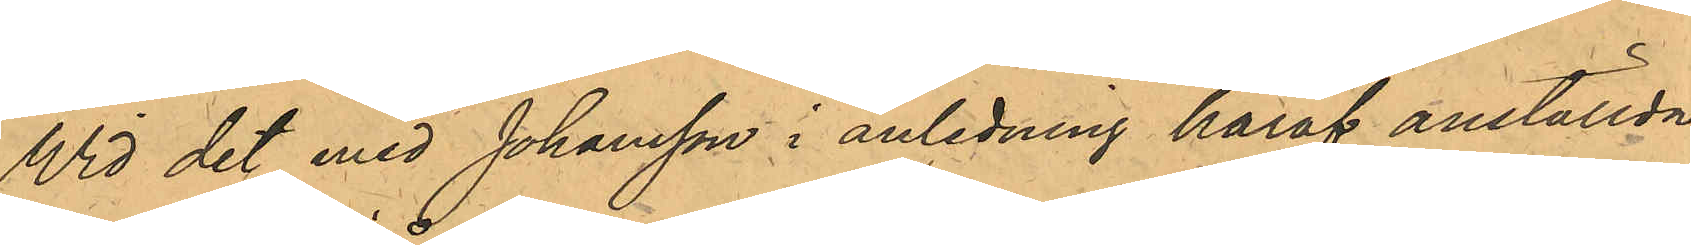Wid det med Johansson i anledning häraf anställda
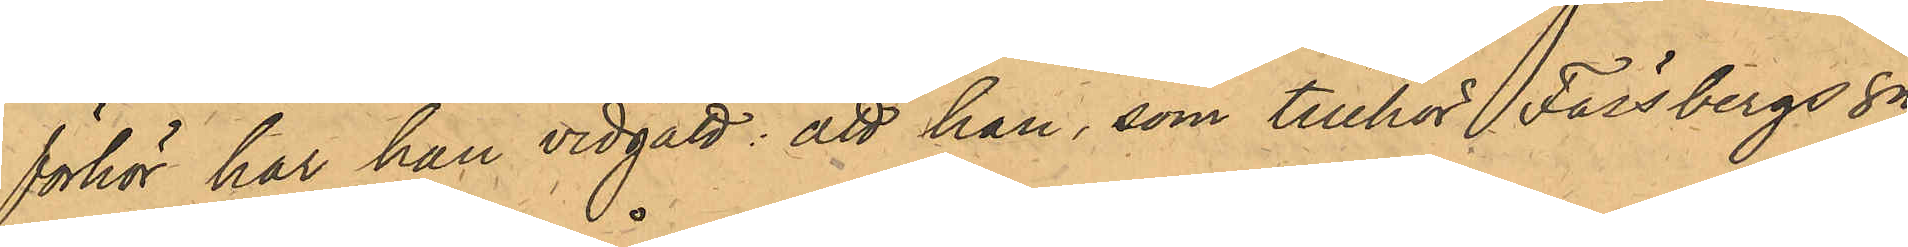förhör har han vidgått: att han, som tillhör Fässbergs Sn
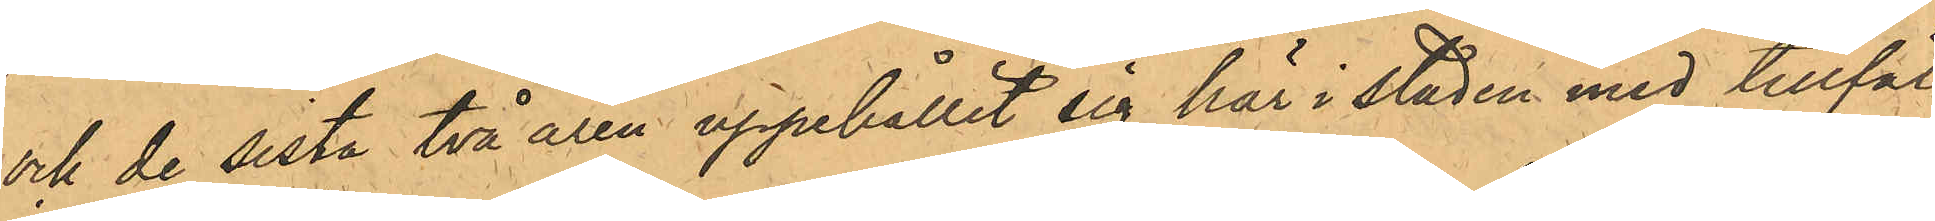och de sista två åren uppehållit sig här i staden med tillfäl¬
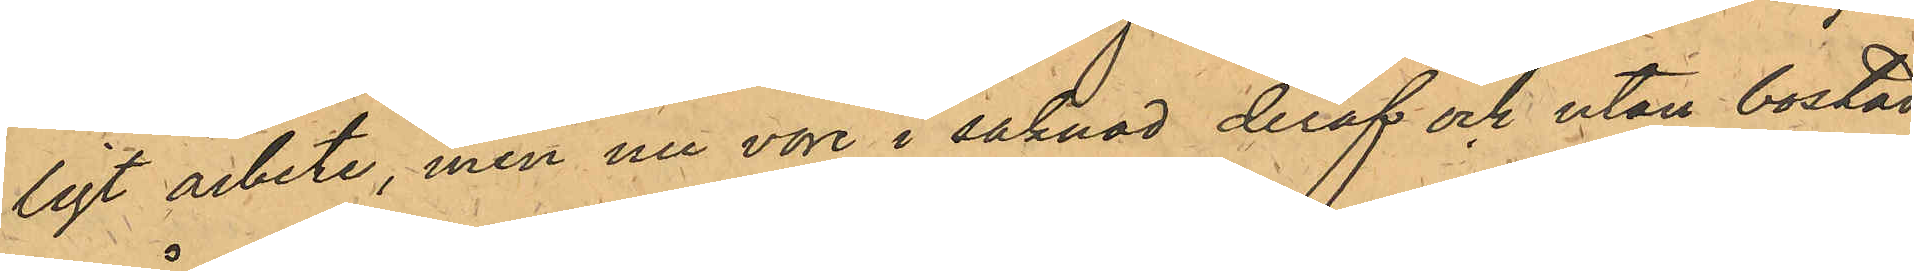ligt arbete, men nu vore i saknad deraf och utan bostad,
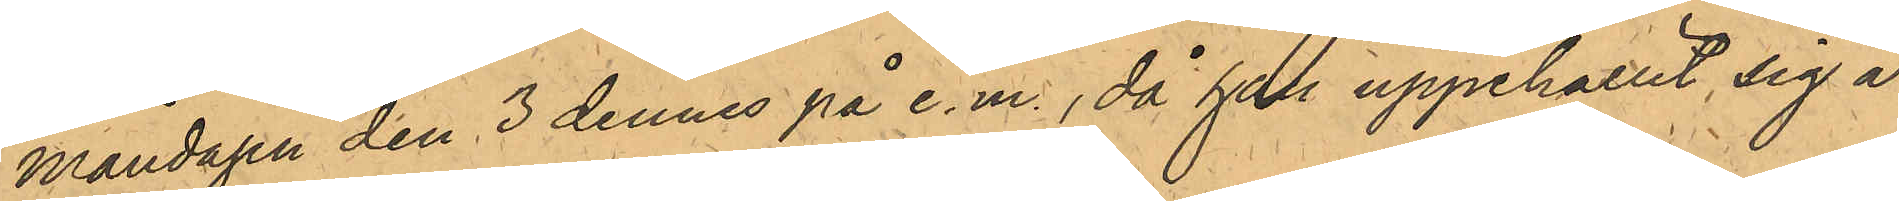Måndagen den 3 dennes på e.m., då han uppehållit sig å
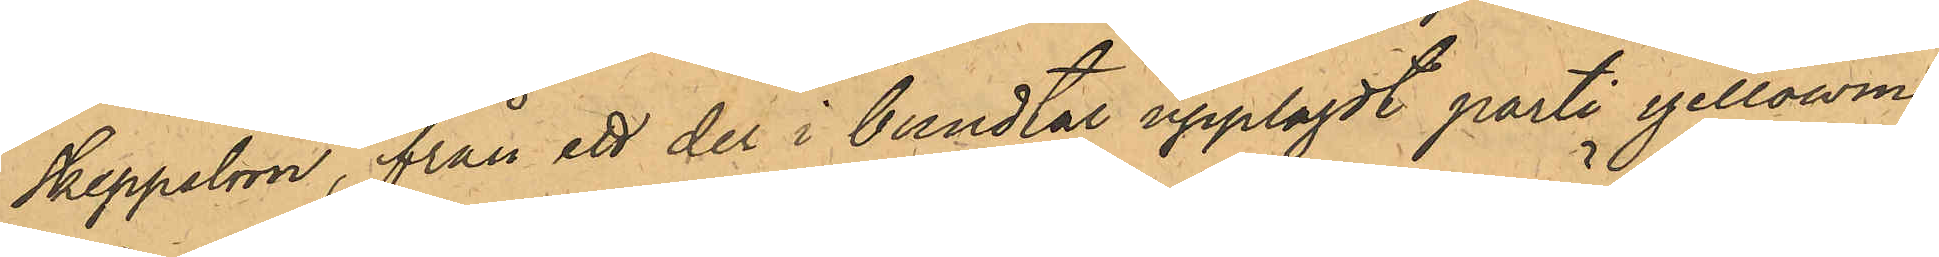Skeppsbron, från ett der i bundtar upplagdt parti yellowme¬
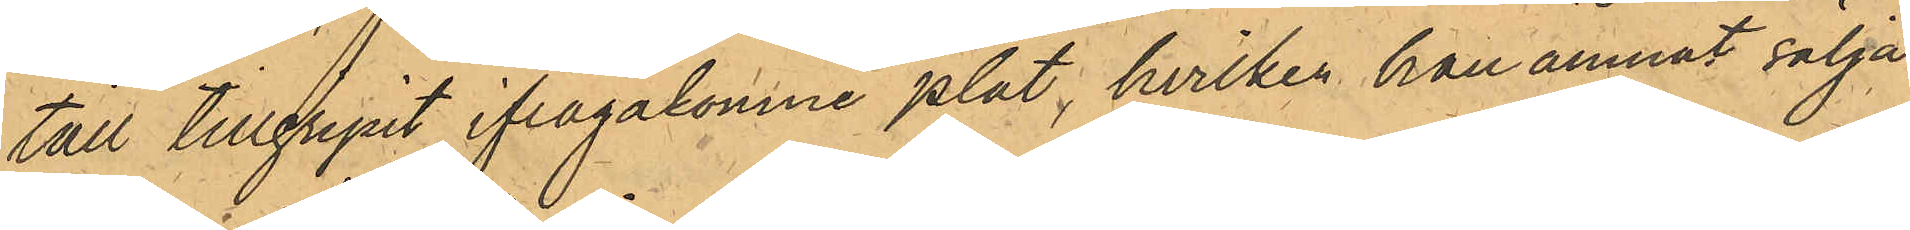tall tillgripit ifrågakomne plåt, hvilken han ämnat sälja
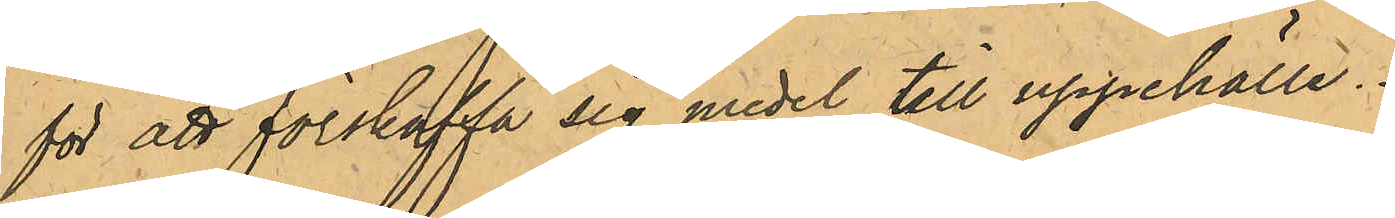för att förskaffa sig medel till uppehälle.
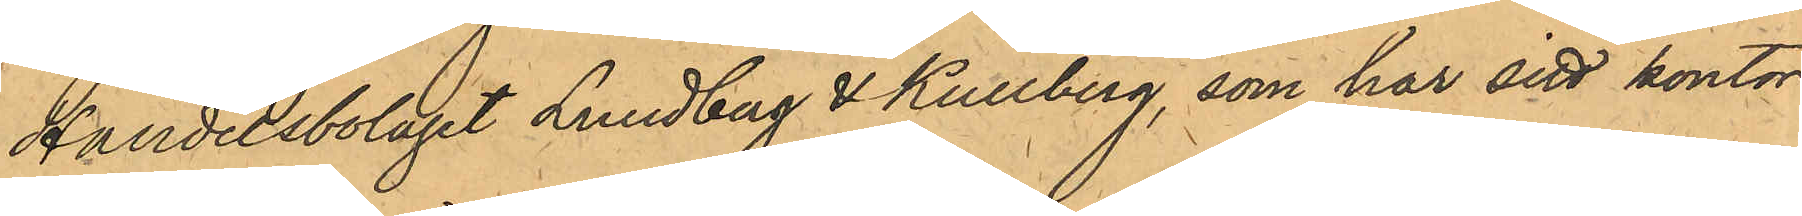Handelsbolaget Lundberg & Kullberg, som har sitt kontor
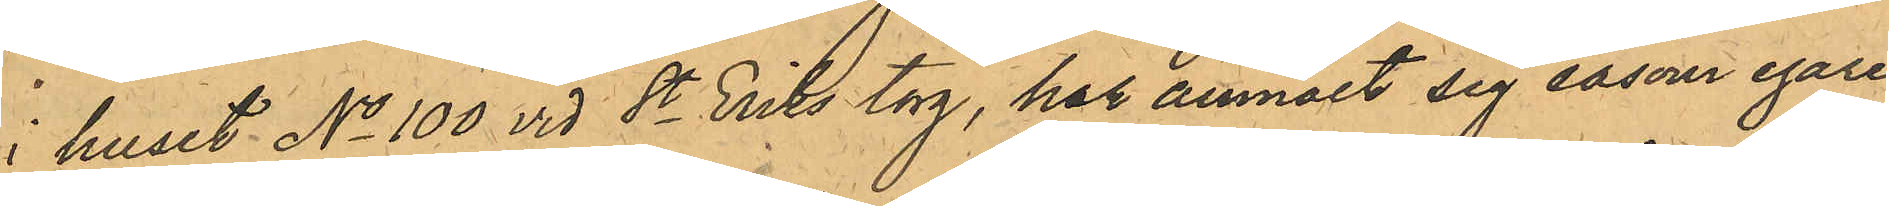i huset No 100 vid St Eriks torg, har anmält sig såsom egare
